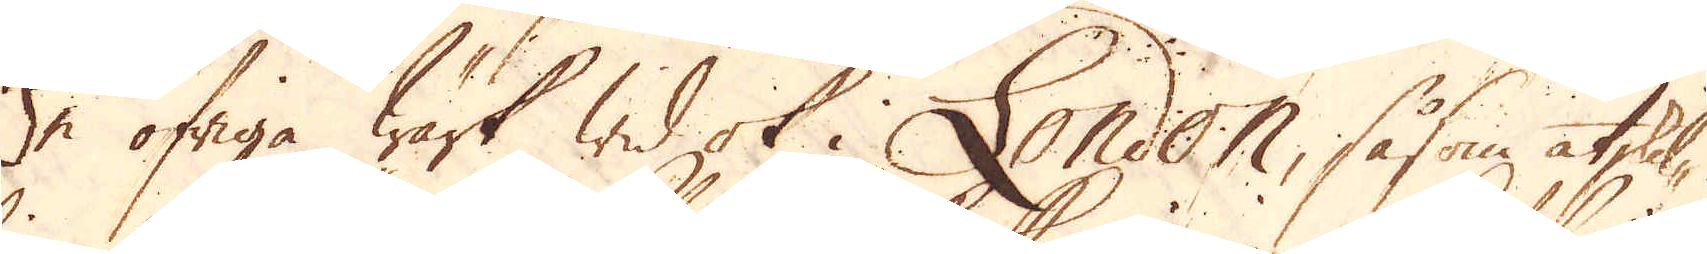De öfriga Wärk wid ok i London, såsom åtskil-
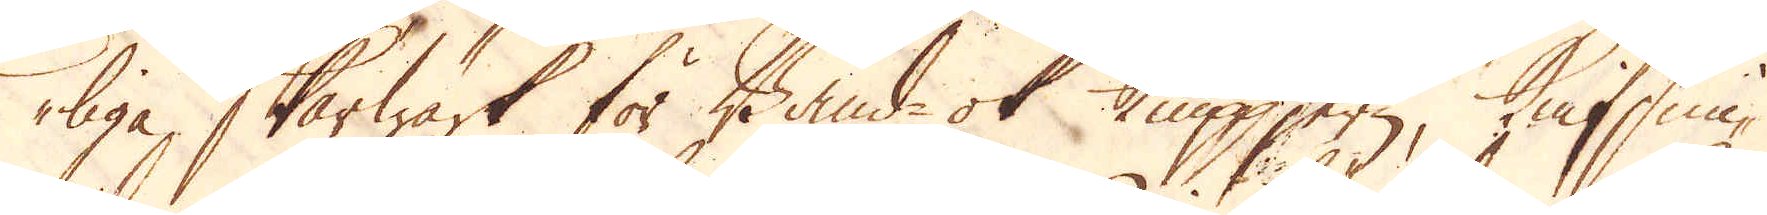liga, Skärwärk för Band- ok Knippjern, Knifsmi-
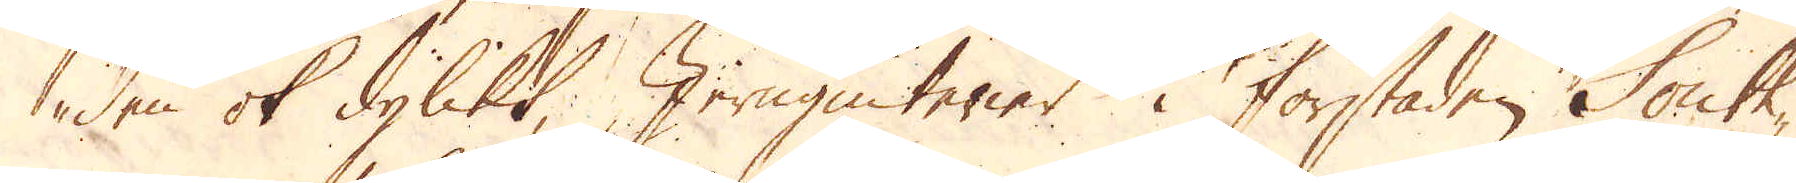den ok dylikt, Jerngiuterier i förstaden South-
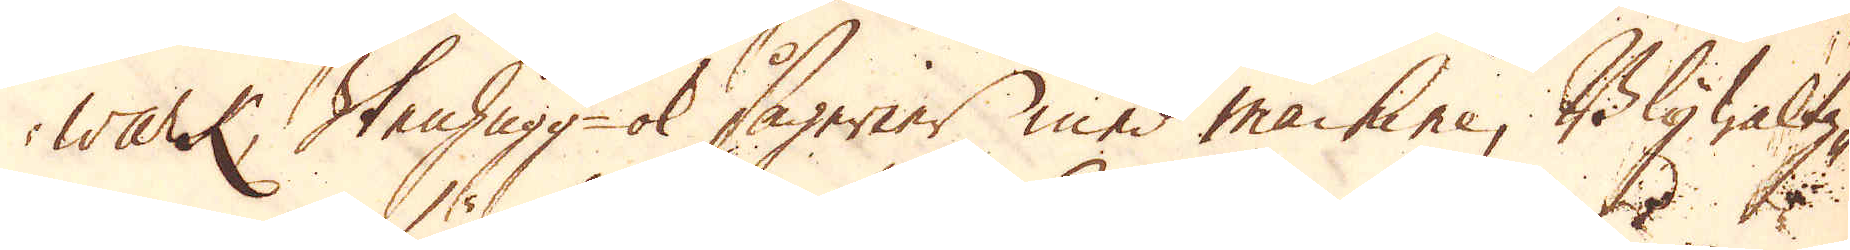wark, Stenhugg- ok sägerier med machine, Blywalz-
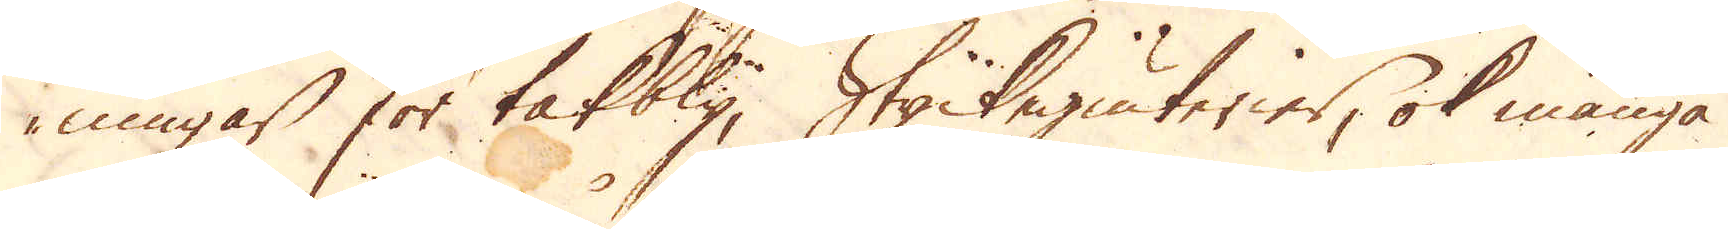ningar för takbly, Styckegiuterier, ok många
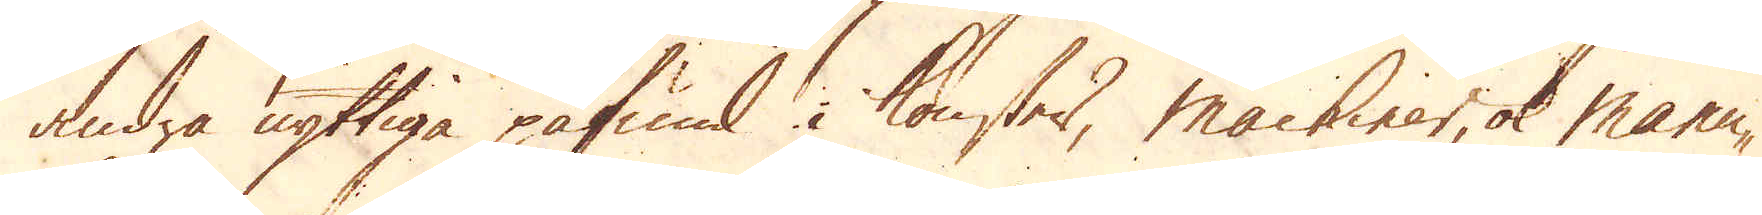andra nyttiga påfund i konster, machiner, ok manu-
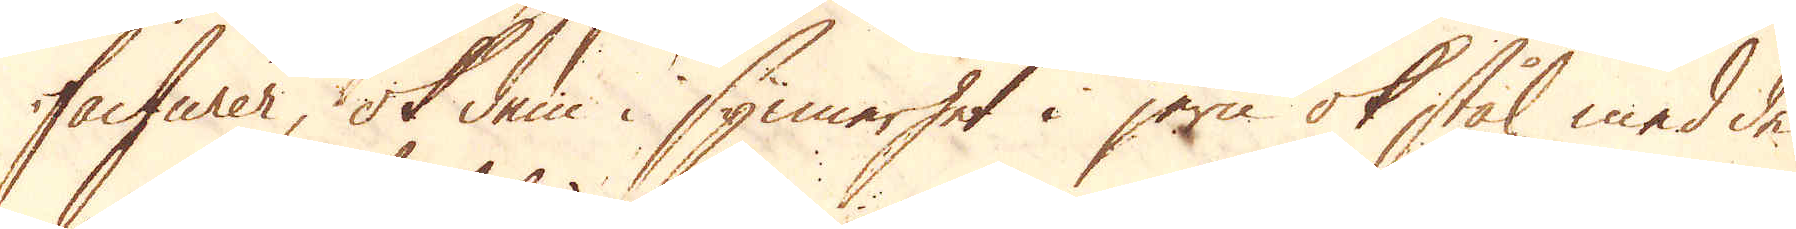facturer, ok dem i synnerhet i jern ok stål med de
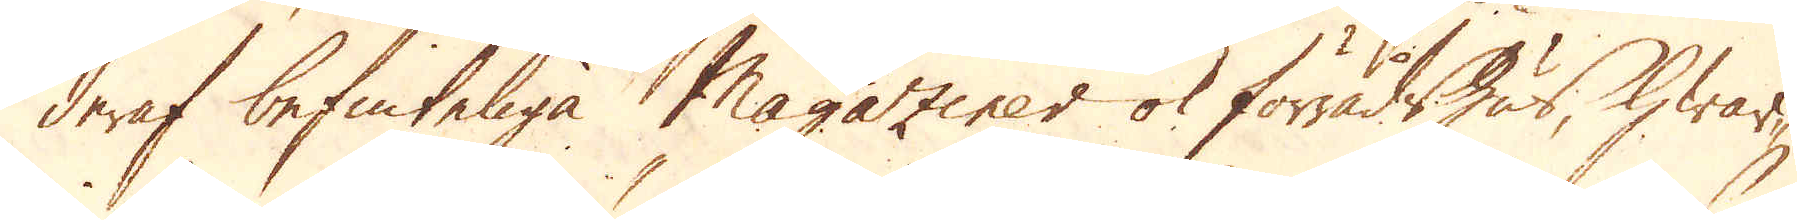deraf befinteliga Magaziner ok förrådshus, hwar-
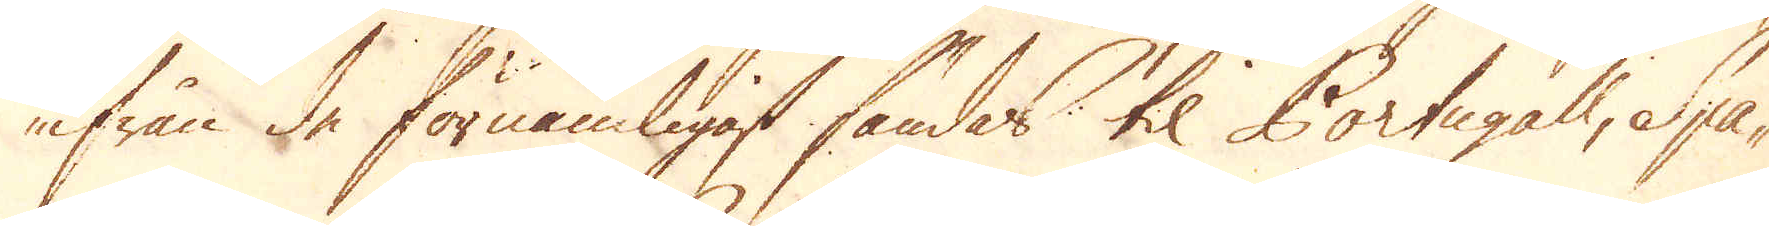ifrån de förnämligast sändas til Portugall, Spa-
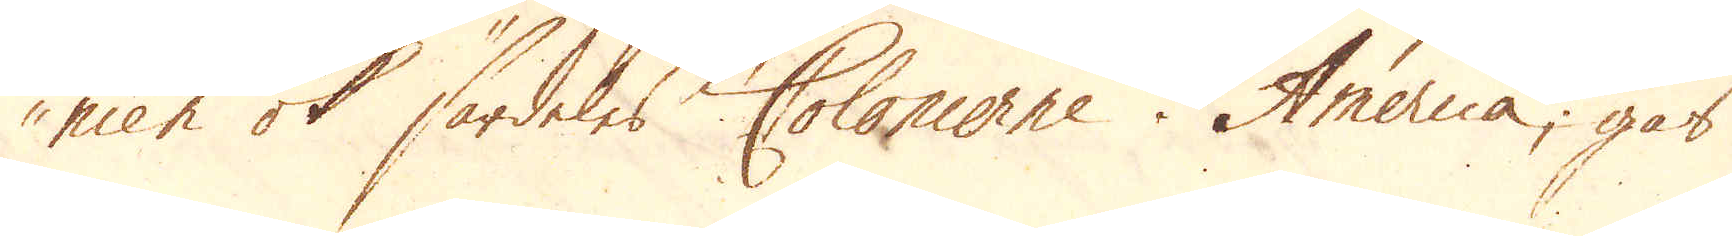nien ok särdeles Colonierne i America, gås
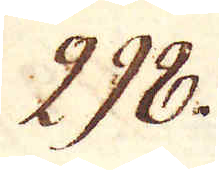298.
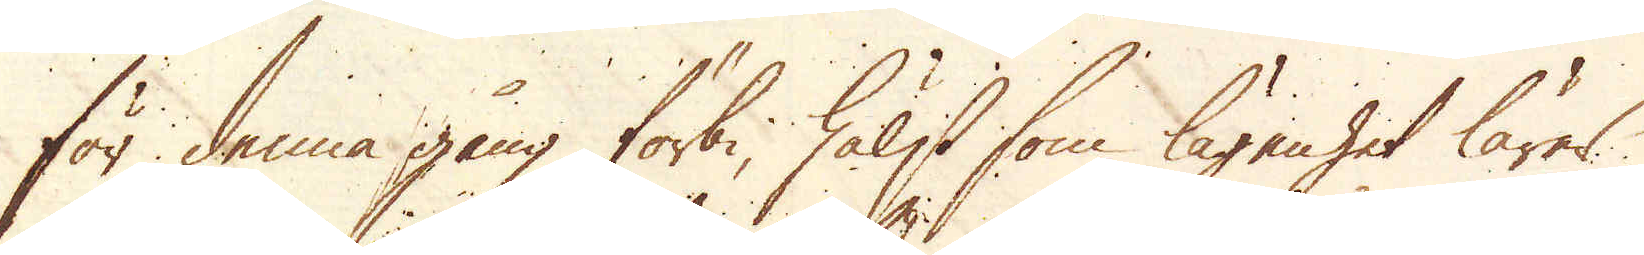för denna gång förbi, hälst som lägenhet lärer
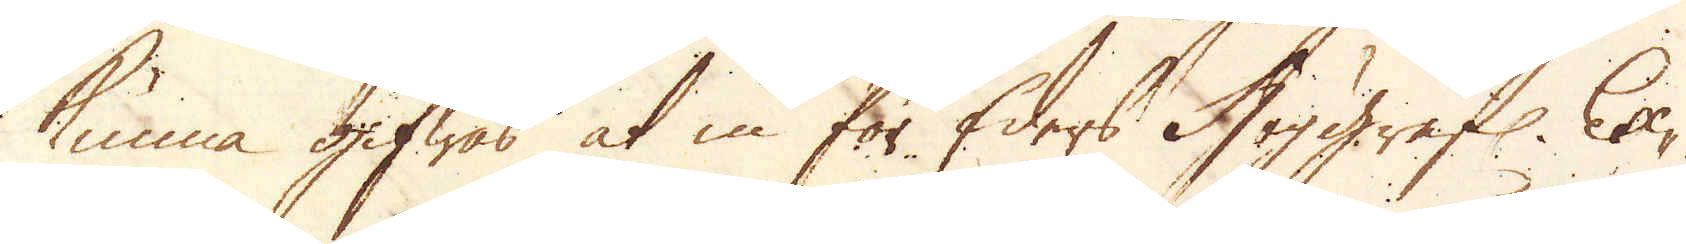kunna gifwas at in för Eders Höggrefl: Ex-
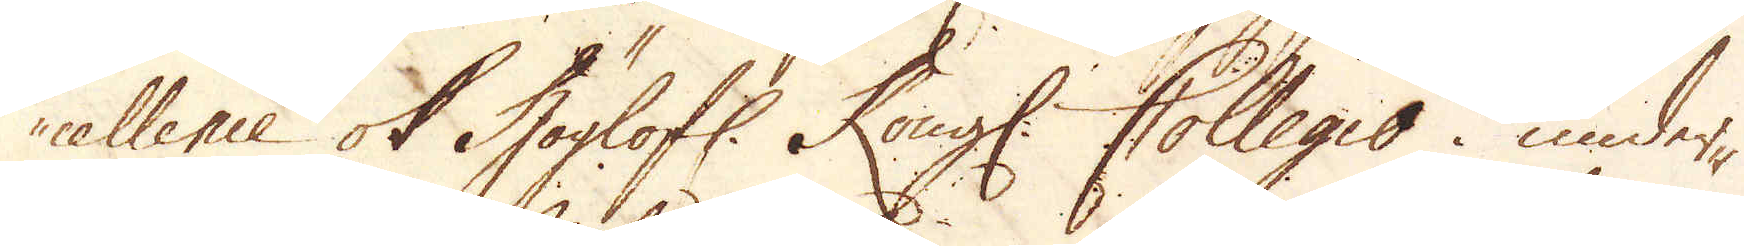cellence ok Höglofl: Kongl. Collegio i under-
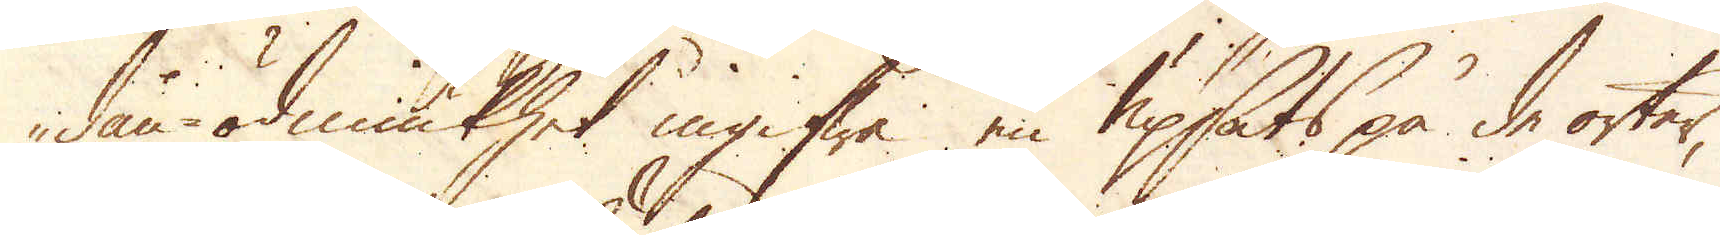dån-ödmiukhet ingifwa en upsats på de orter,
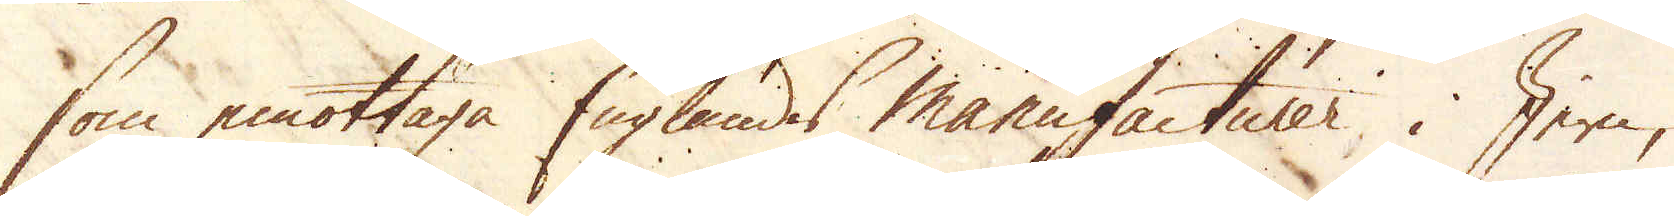som emottaga Englandes manufacturer i Jern,
